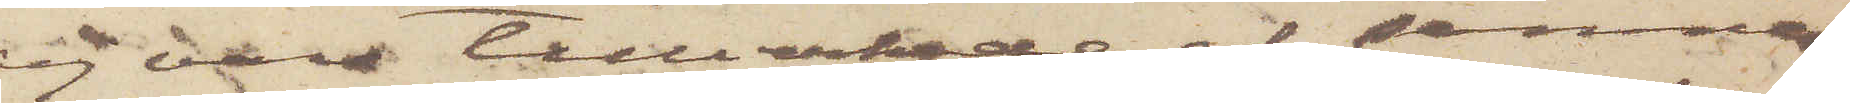ej vara tillverkade af samma
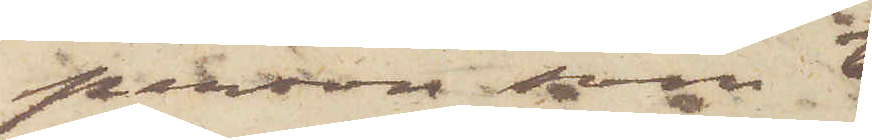person som 
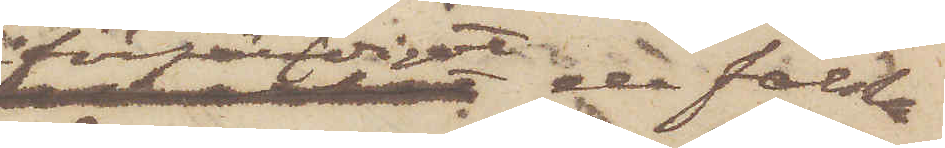förfärdigat de falska
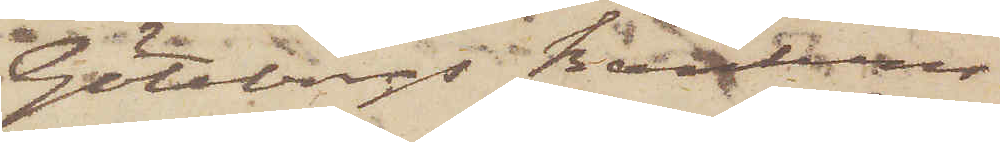Göteborgs Bankens
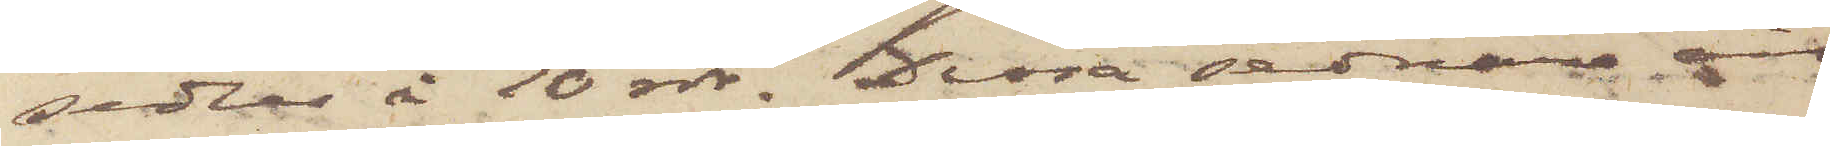sedlar å 10 rdr; Dessa sednare äro
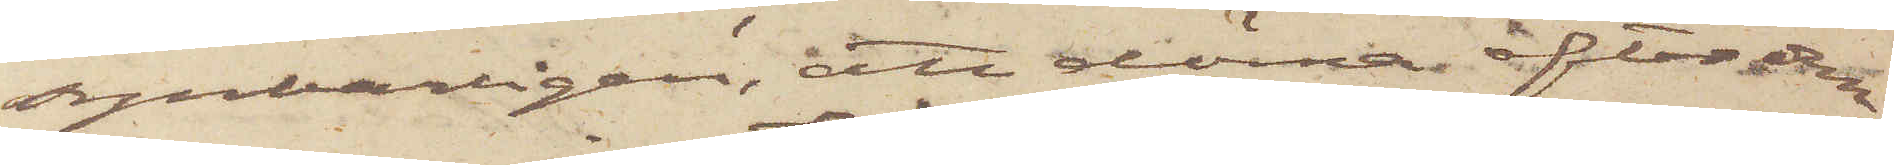synbarligen, att döma efter den
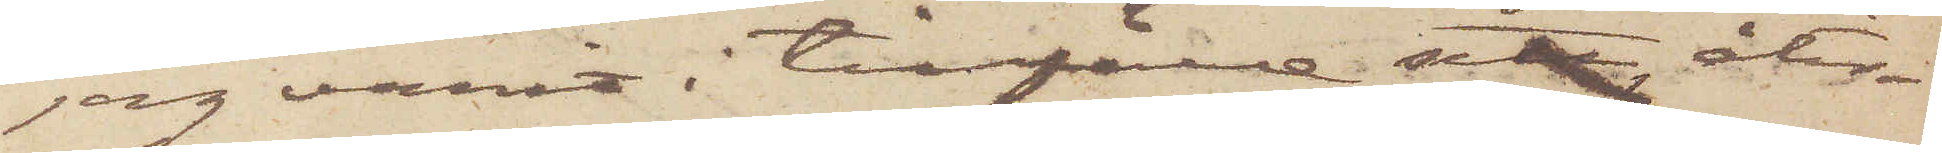jag varit i tillfälle sett, åter¬
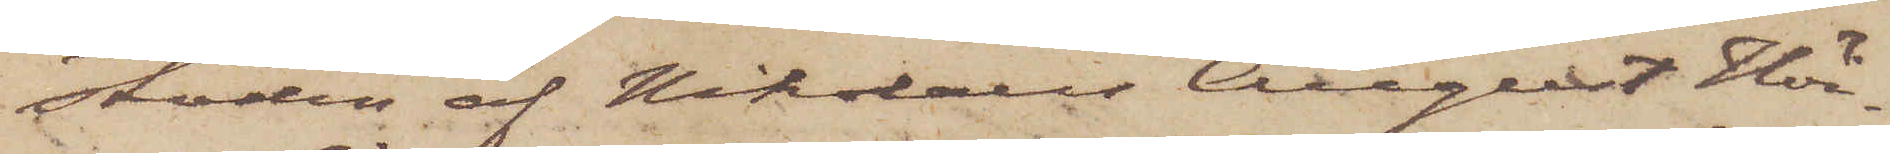stoden af Nikolaus August Höi¬
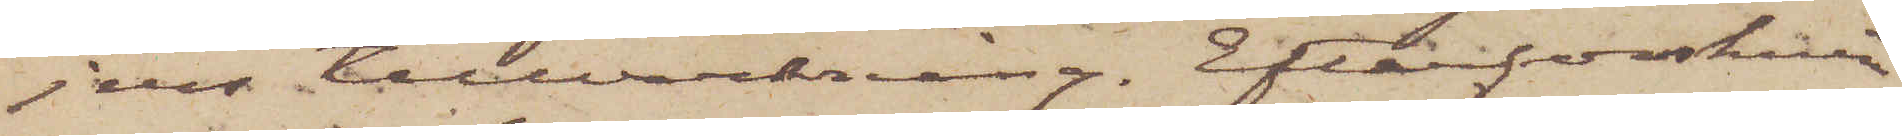jers tillverkning. Efterforsknin¬
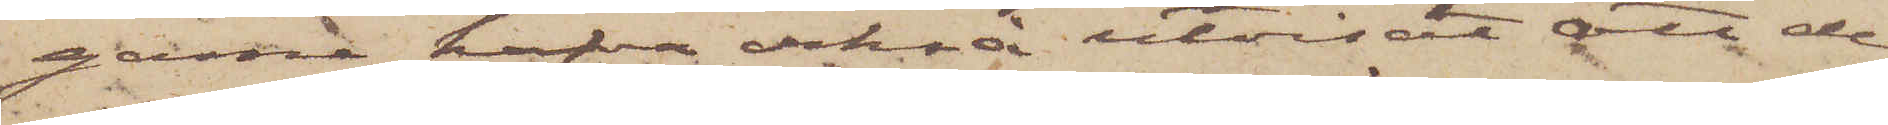garna hafva också utvisat att de
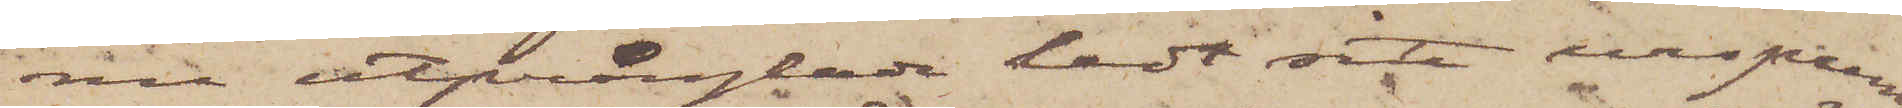nu utprånglade ledt sitt ursprung
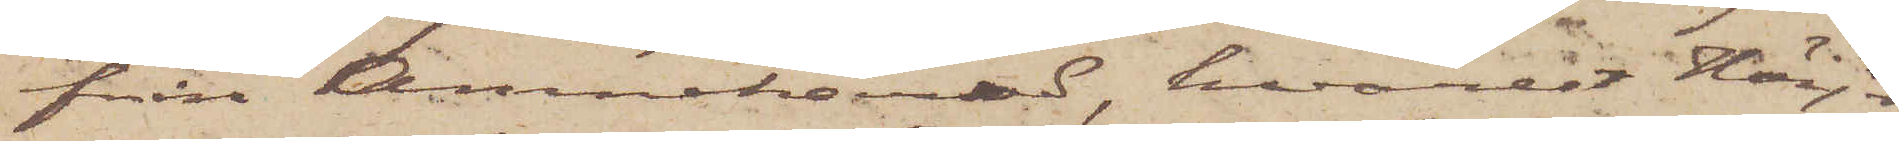från Amnehärad, hvarest Höijer
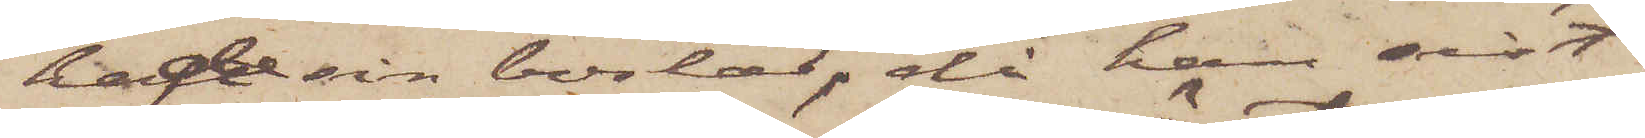hade sin bostad, då han sist
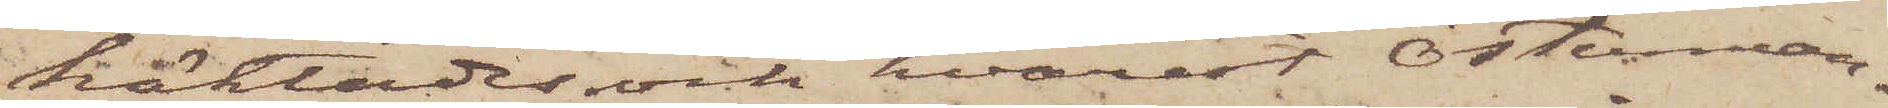häktades och hvarest Österman¬
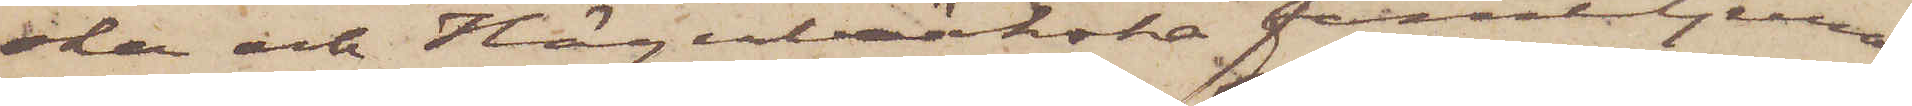ska och Hägerbäckska familjerna
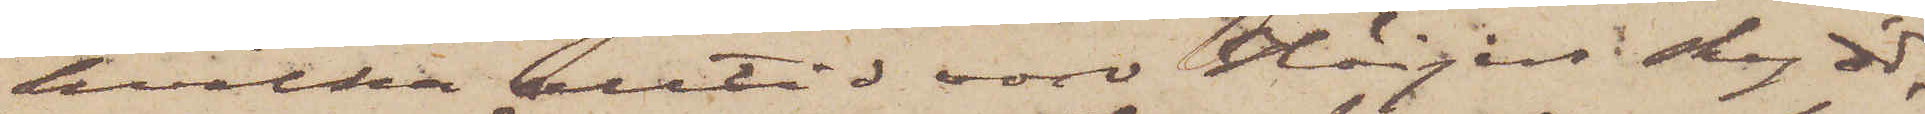hvilka alltid vore Höijers skydd,
